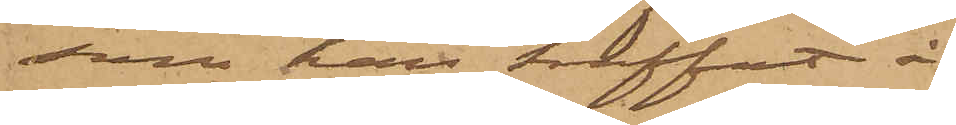som han träffat å
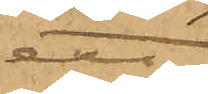ett
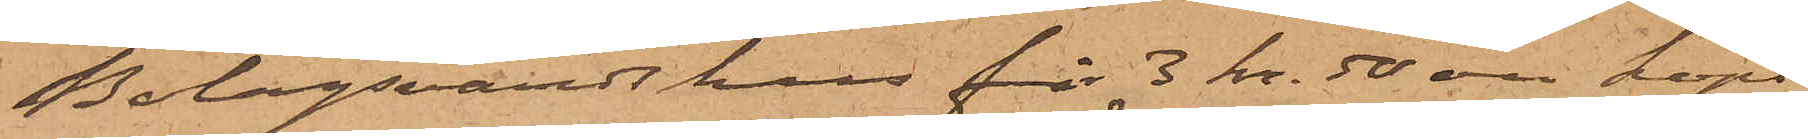Bolagsvärdshus för 3 kr. 50 öre köpt
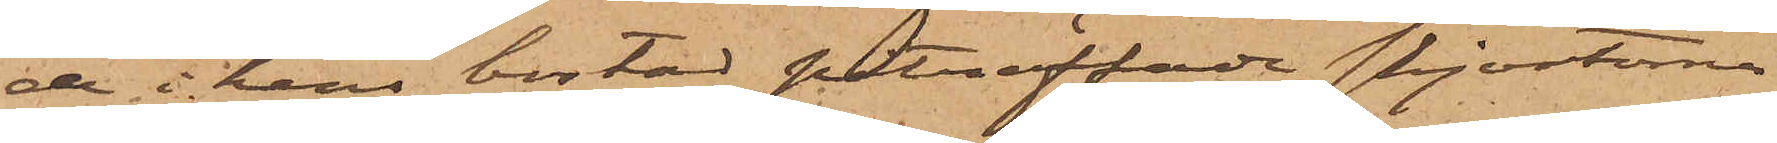de i hans bostad påträffade skjortorna
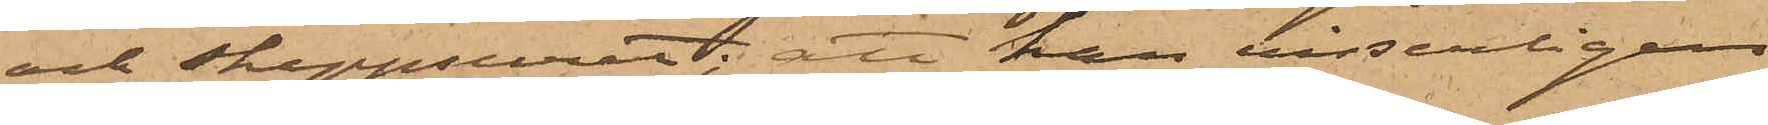och skeppsuret; att han visserligen
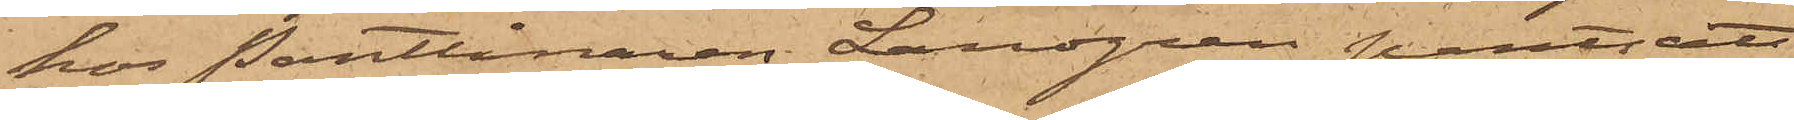hos Pantlånaren Landgren pantsatt
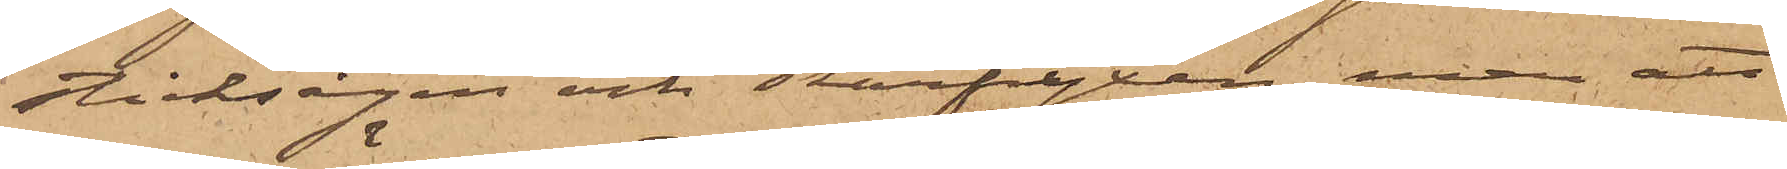sticksågen och skarfyxan, men att
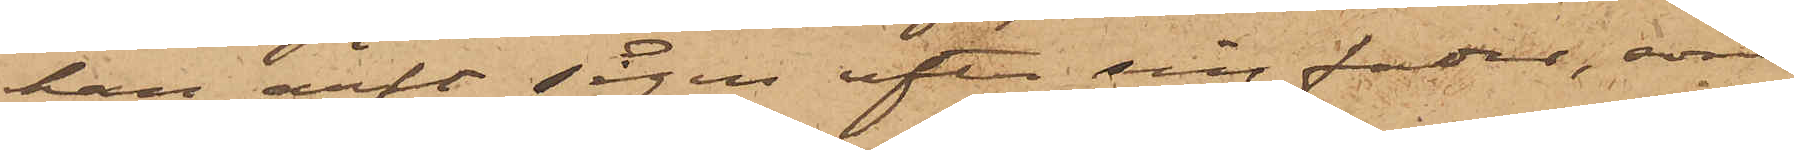han haft sågen efter sin fader, som
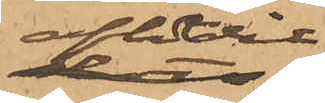aflidit
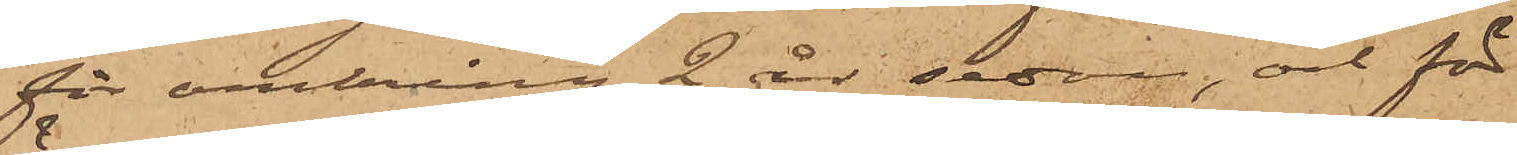för omkring 2 år sedan, och för
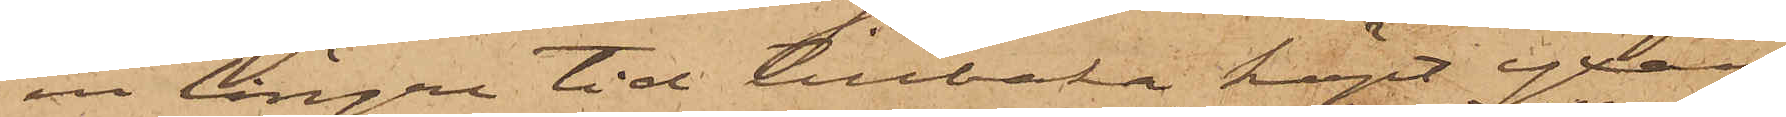en längre tid tillbaka köpt yxan
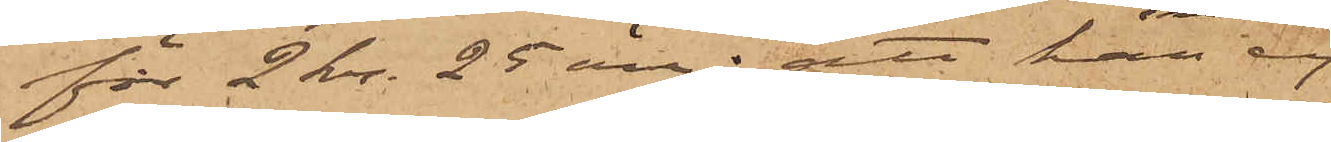för 2 kr. 25 öre; att han ej
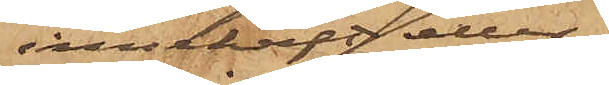innehaft eller
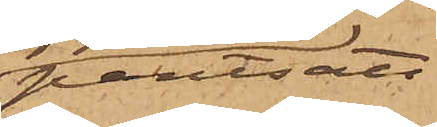pantsatt
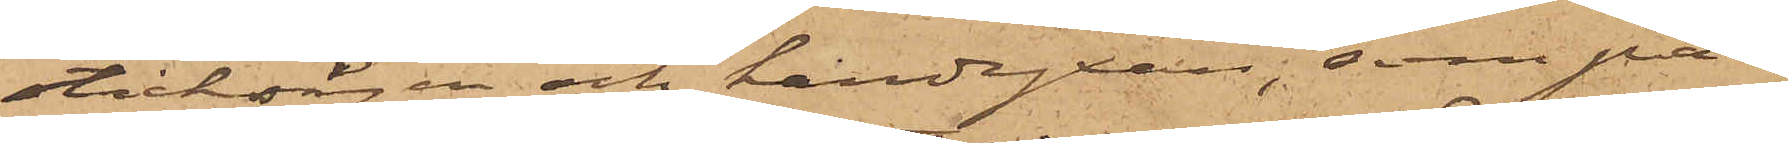sticksågen och handyxan, som på¬
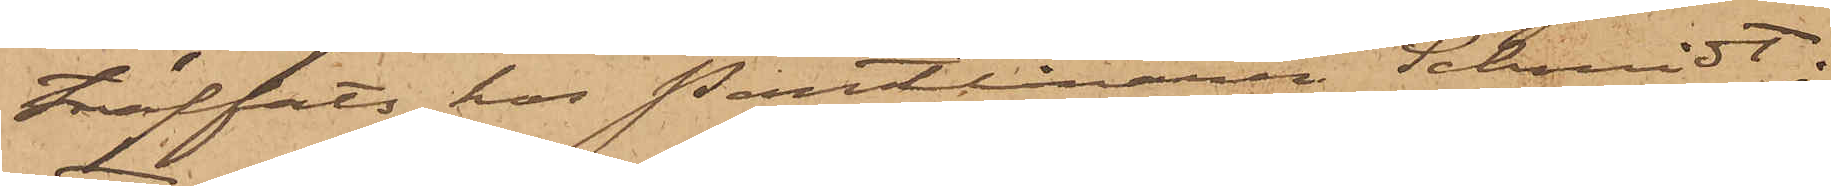träffats hos Pantlånaren Schmidt;
